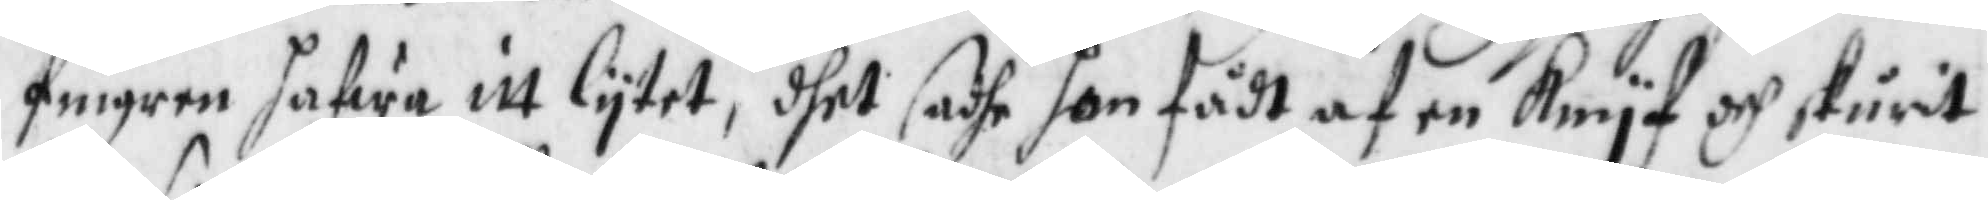fingren hafwa itt lytet, dhet sadhe hon fådt af en knyf och skurit
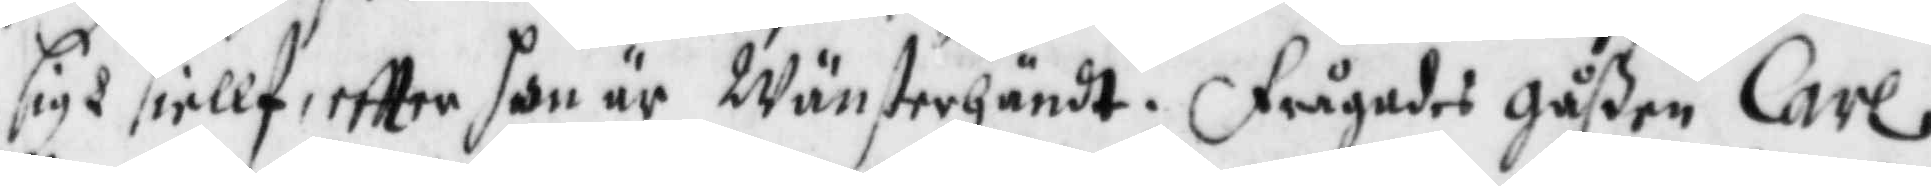sigh siellf eftter hon är Wänsterhändt. frågades gåßen Carl
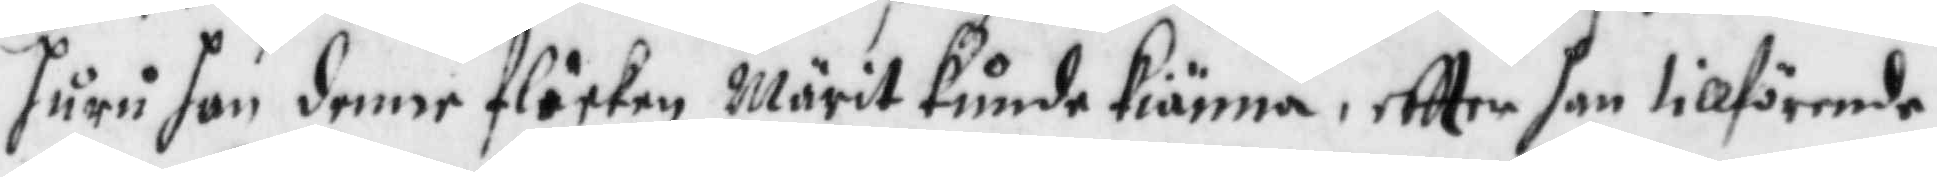huru han denne flickan Märit kunde kiänna, eftter han tillförende
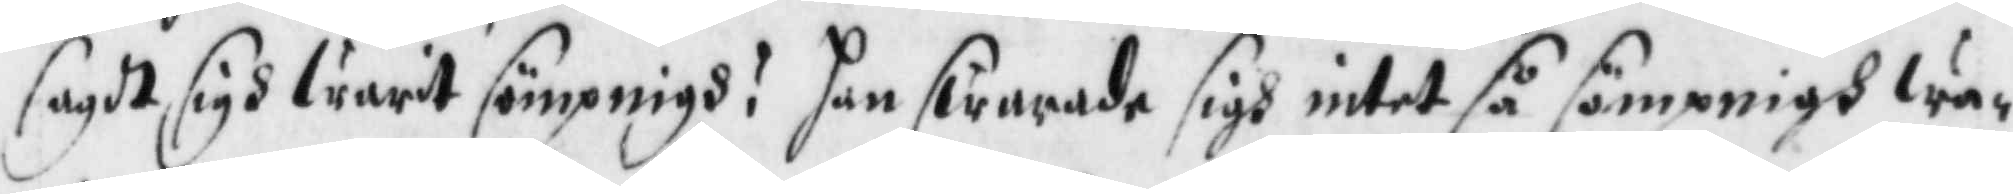sagdt sigh warit sömpningh? han swarade sigh intet så sömpningh wa¬
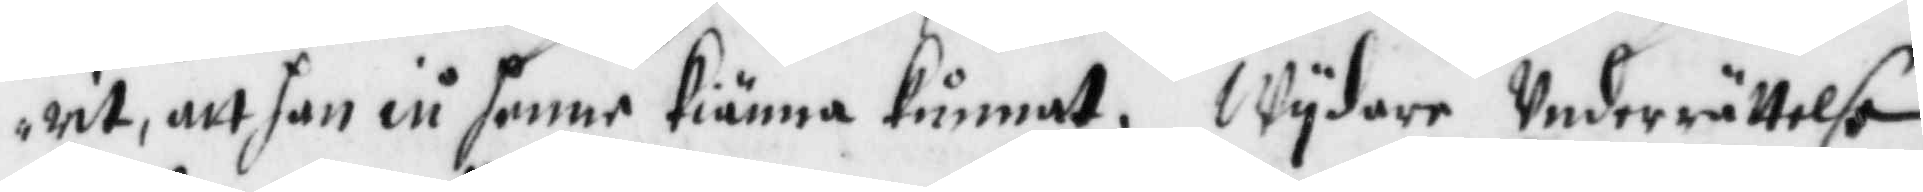rit att han eu henne kiänna kunnat. Wydare Underrättelse
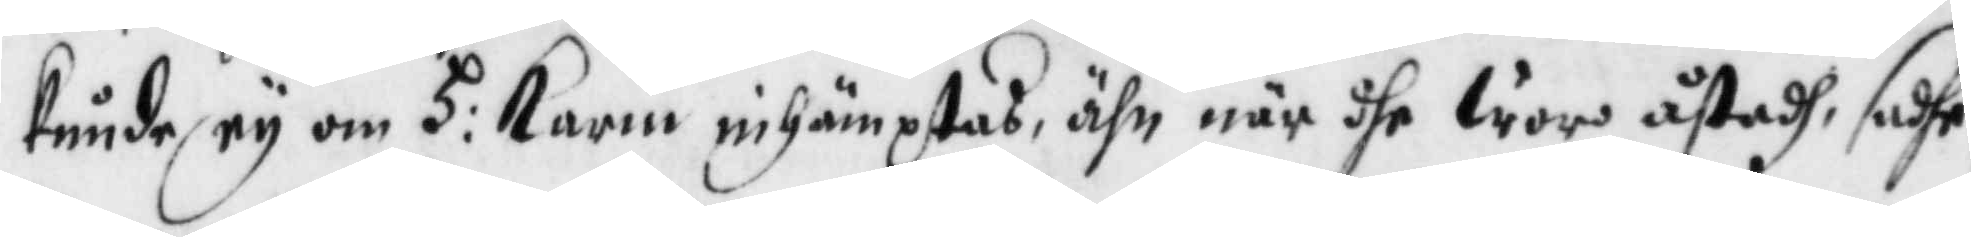kunde ey om h: Karin inhämptas, ähn när dhe woro åstadh, sadhe
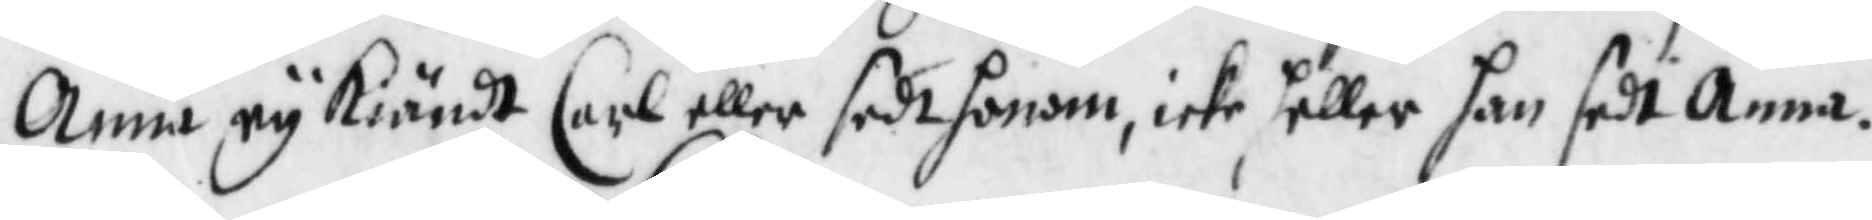Anna ey kiändt Carl eller sedt honom, icke heller han sedt Anna.
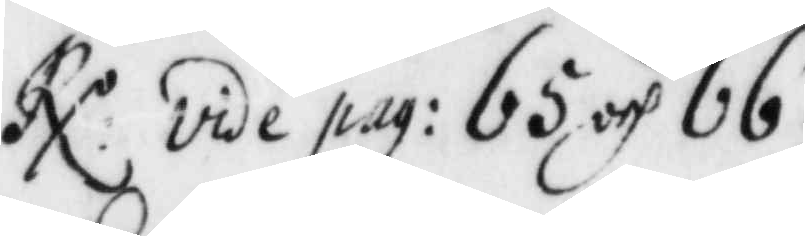RX. vide pag: 65 och 66.
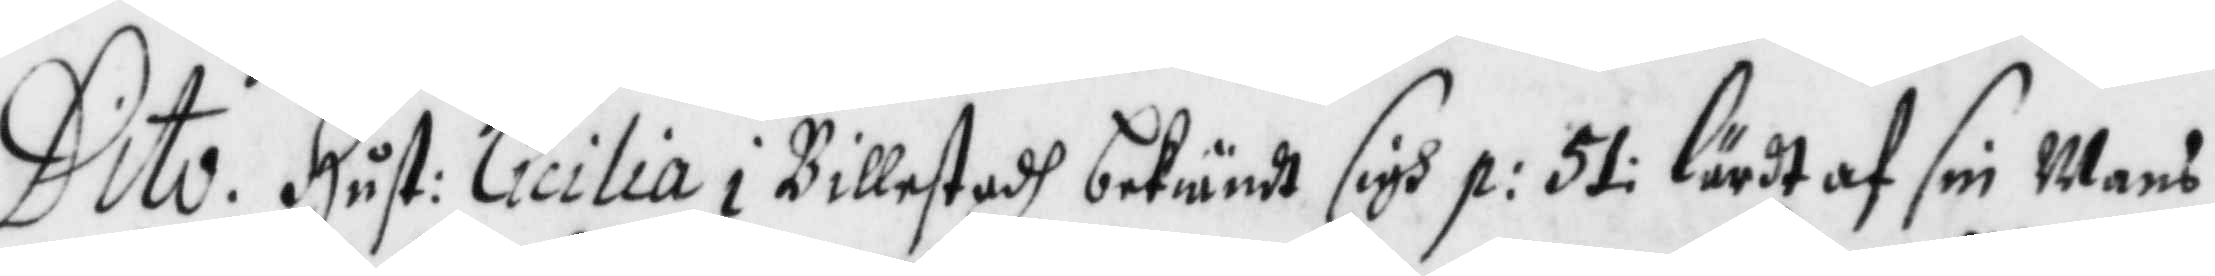Dito. Hust: Cicilia i Billestadh bekiändt sigh p: 51 lärdt af sin Mans
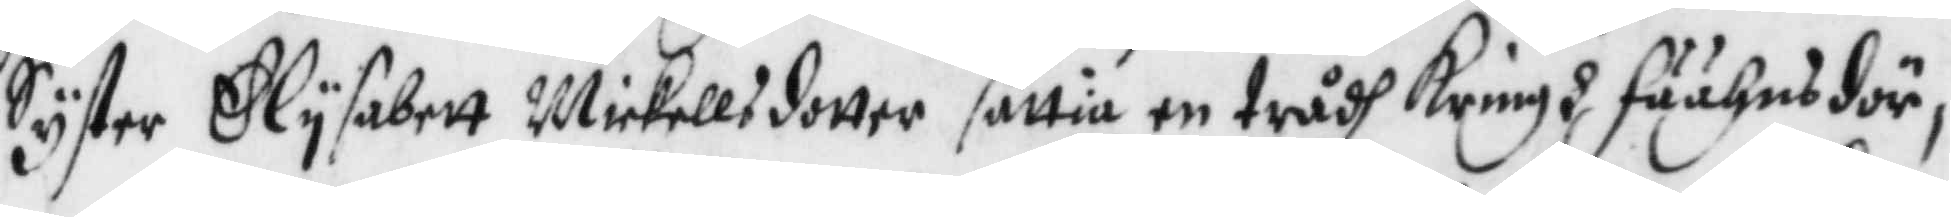Syster Elysabett Mickellsdotter sättia en trådh kringh fäähusdör¬
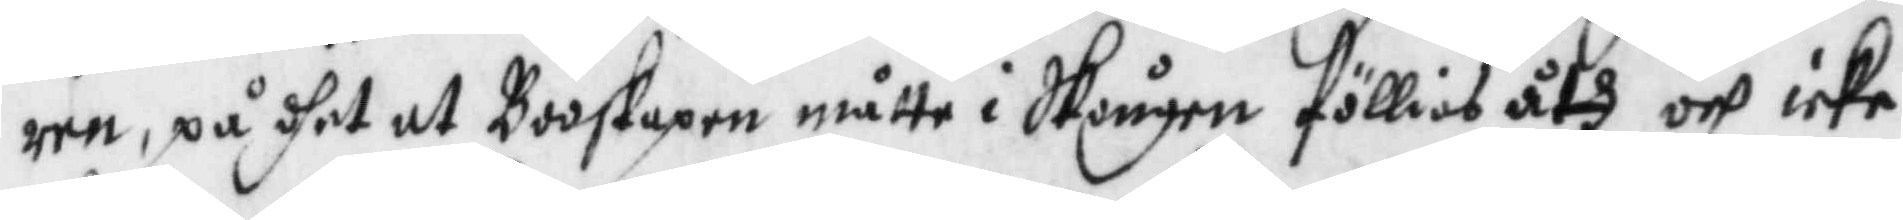ren, på dhet at Booskapen måtte i Skougen föllias åth och icke
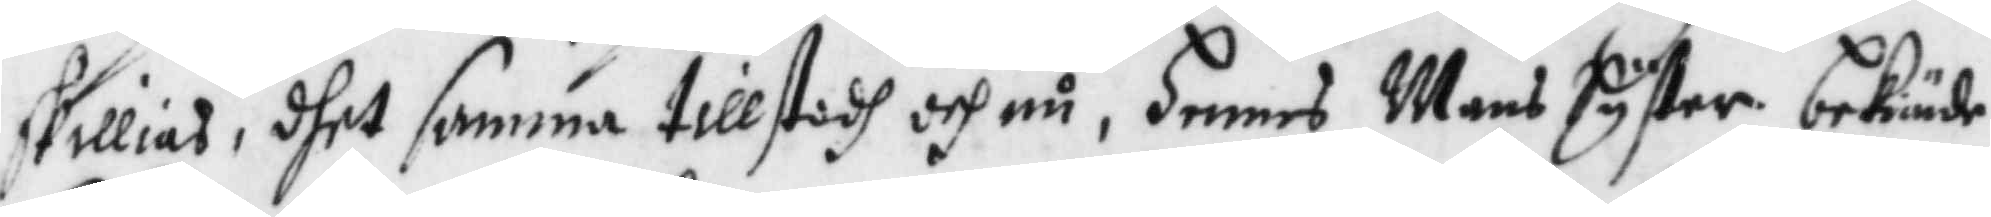skillias, dhet samma tillstodh och nu, Hennes Mans Syster bekiände
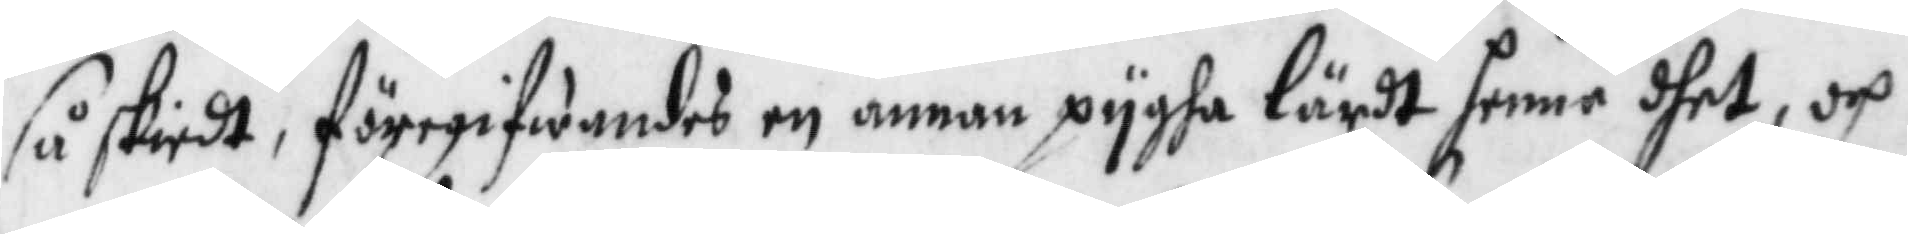så skiedt, föregifwandes en annan pygha lärdt henne dhet, och
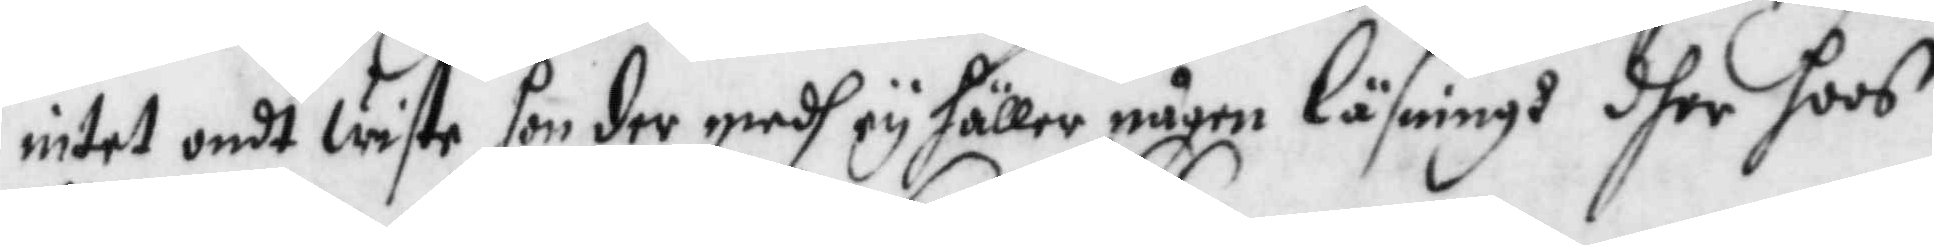intet ondt wistr hon der medh ey häller någen läsningh dher hoos
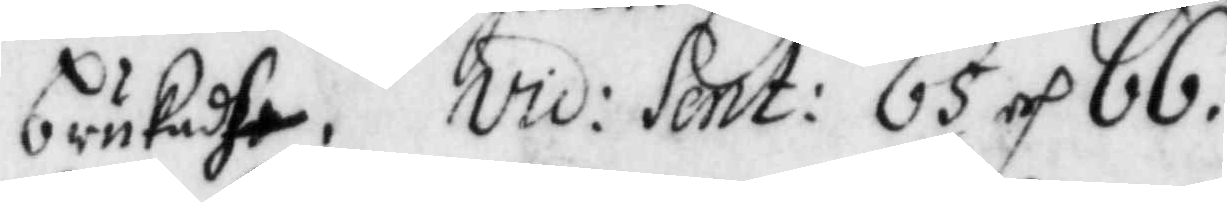brukadhe. vid: sent: 65 och 66.
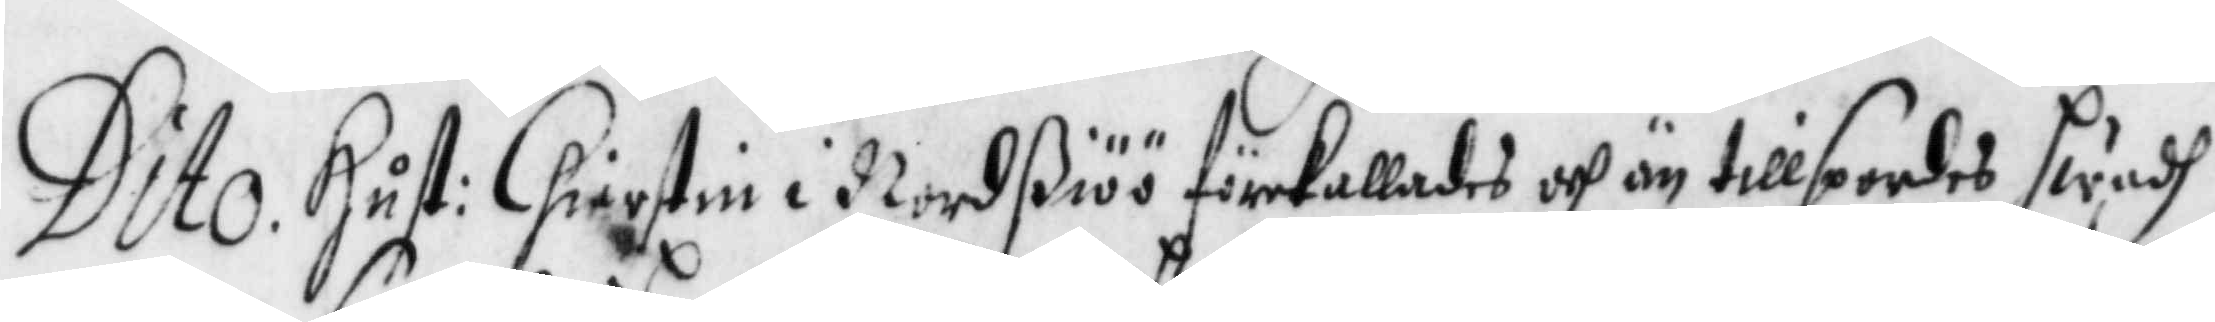Dito. Hust: Chirstin i Nordßiöö förekallades och än tillspordes hwadh
